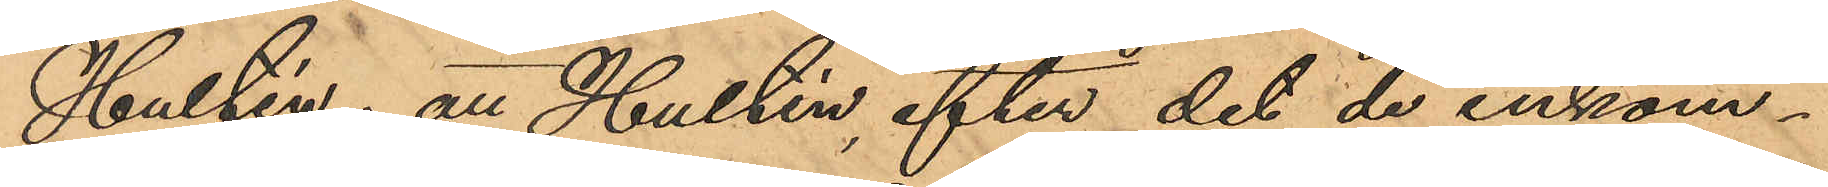Hultén; att Hultén, efter det de inkom¬
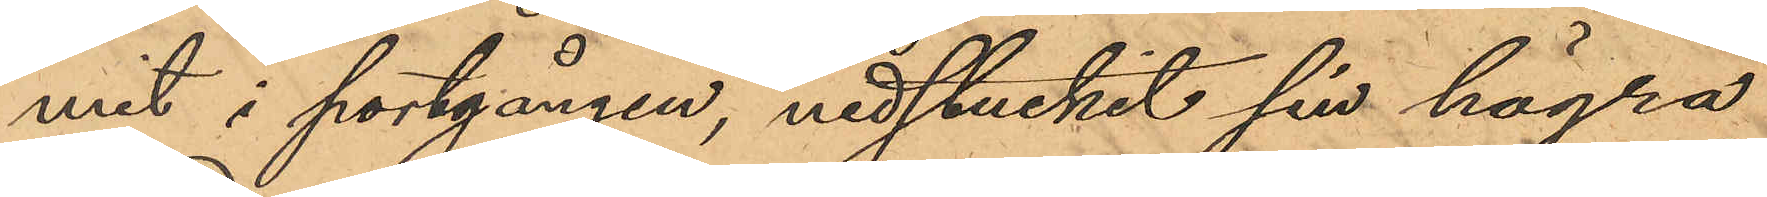mit i portgången, nedstuckit sin högra
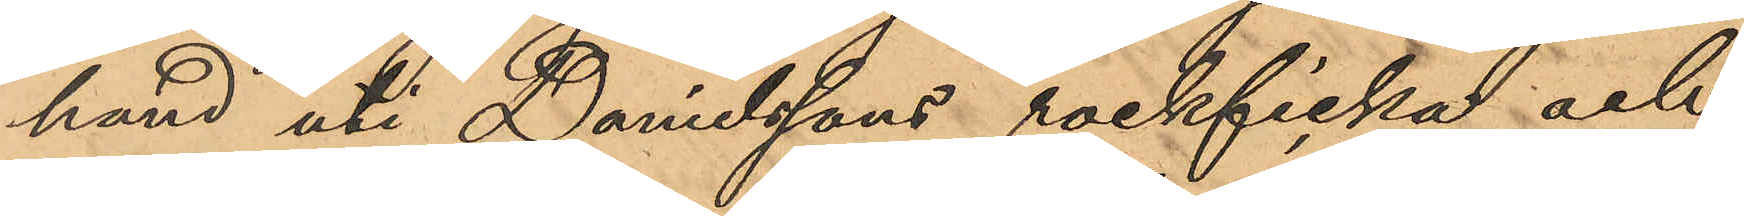hand uti Danielssons rockficka och
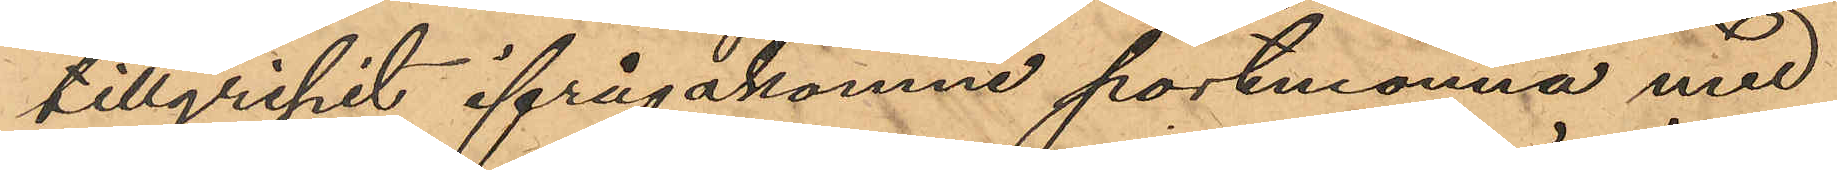tillgripit ifrågakomne portmonnä med
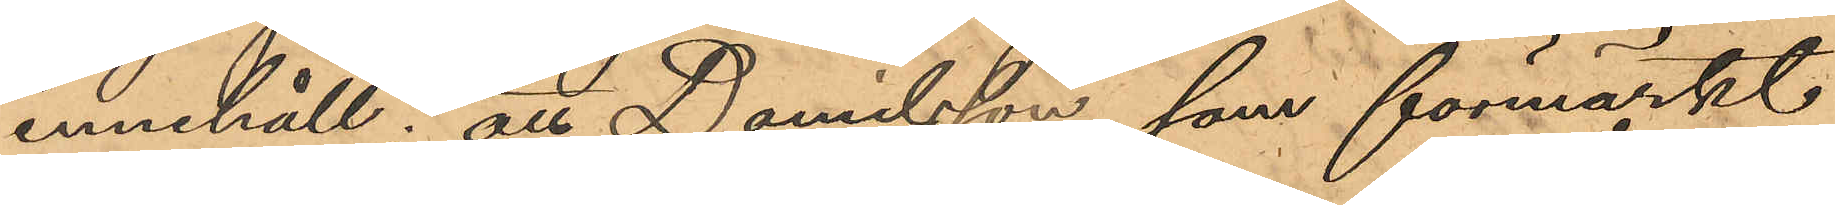innehåll; att Damilsson, som förmärkt
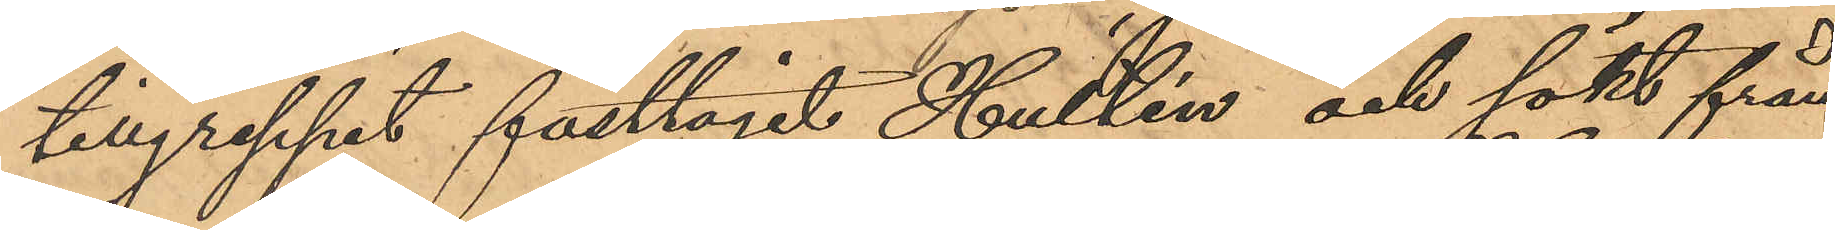tillgreppet fasttagit Hultén och sökt från¬
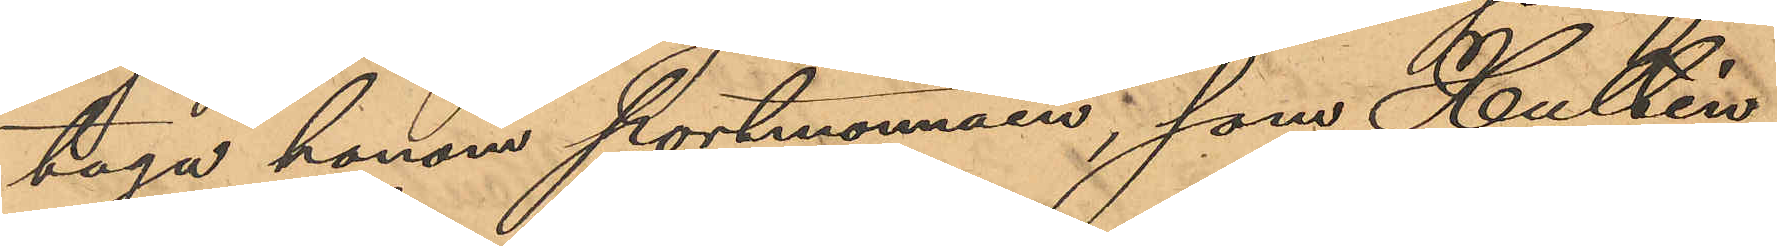taga honom portmonnäen, som Hultén
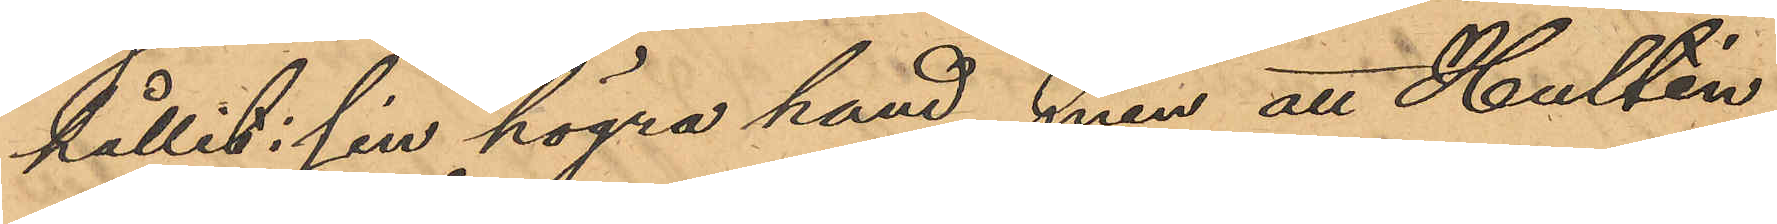hållit i sin högra hand, men att Hultén
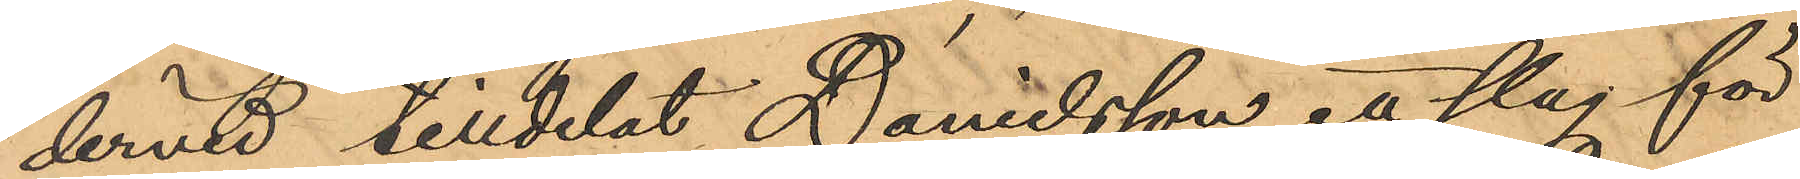dervid tilldelat Danielsson ett slag för
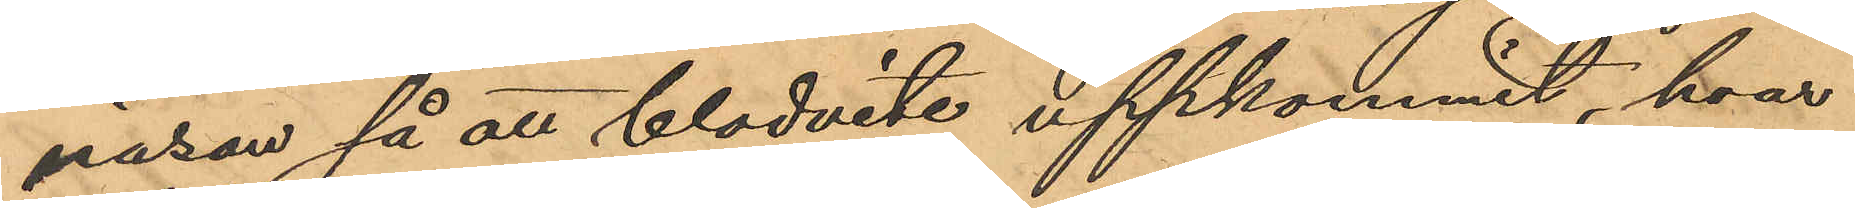näsan så att blodvite uppkommit, hvar
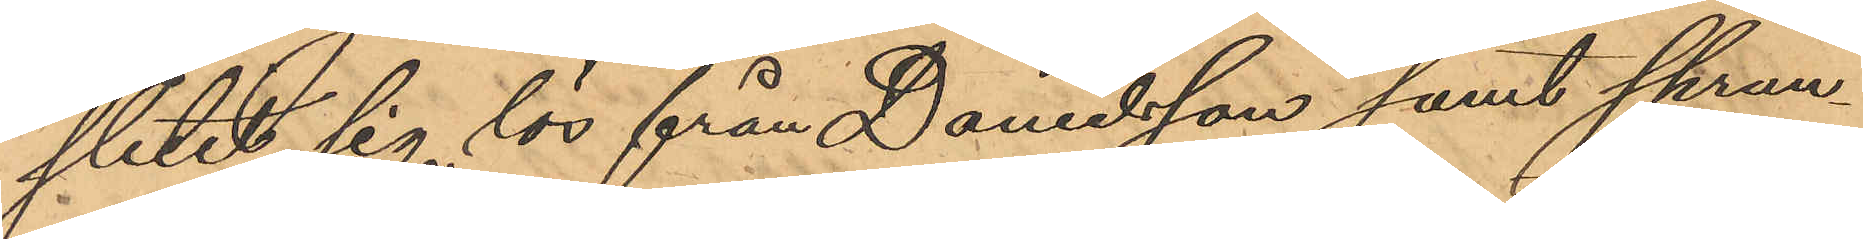slitit sig lös från Danielsson samt sprun¬
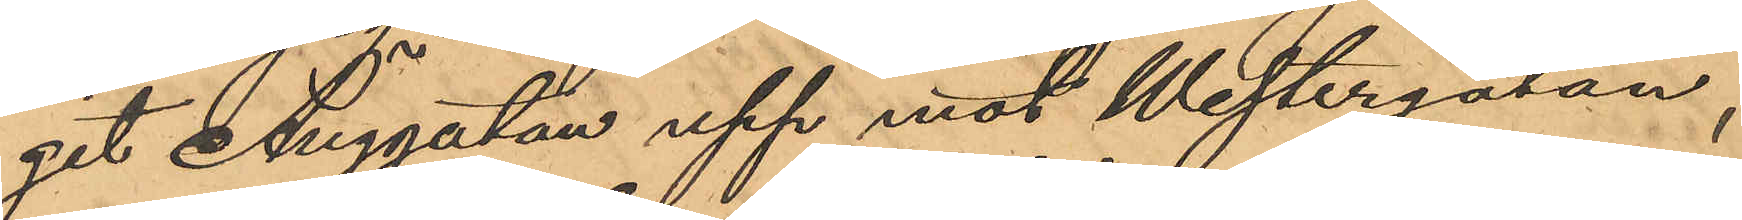git Änggatan upp mot Westergatan,
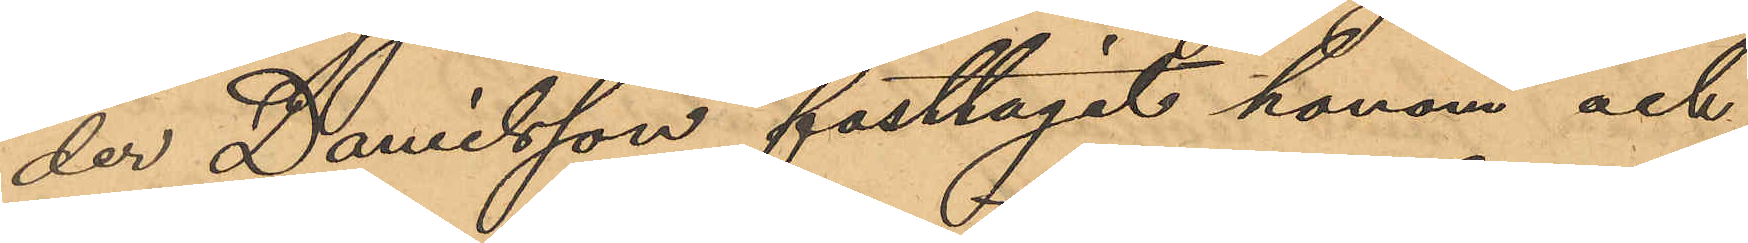der Danielsson fasttagit honom och
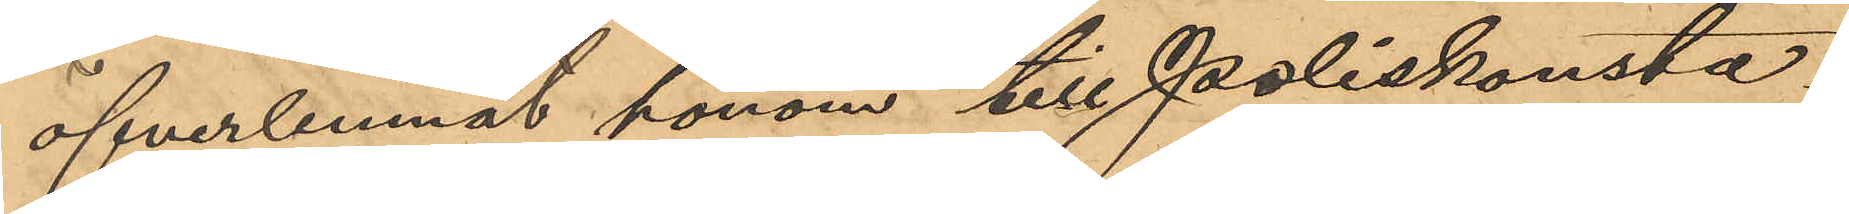öfverlemnat honom till Poliskonsta¬
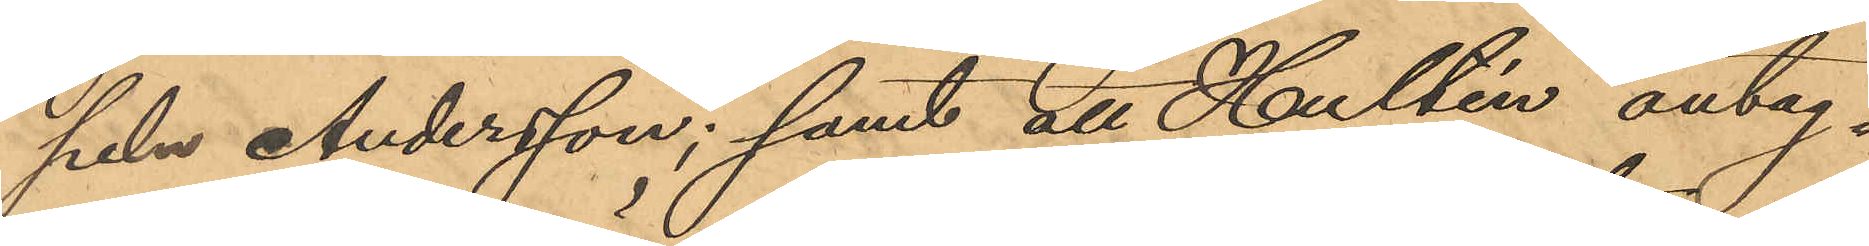peln Andersson; samt att Hultén antag¬
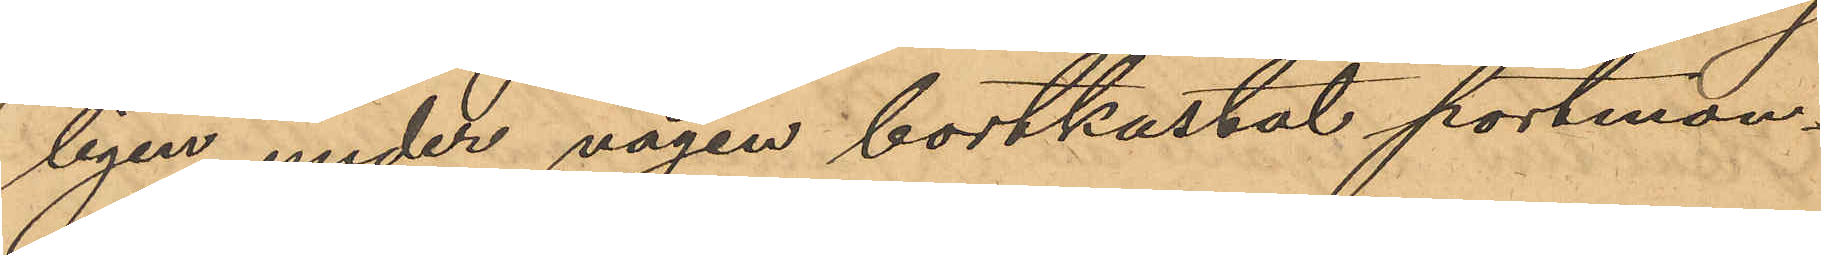ligen under vägen bortkastat portmon¬
